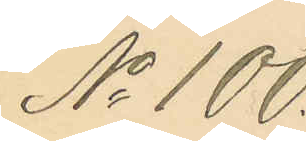No 100.
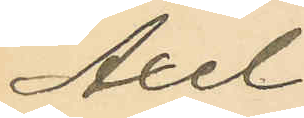Axel
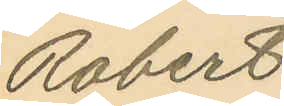Robert
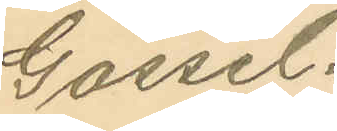Gossel¬
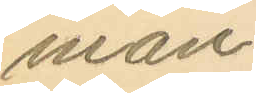man.
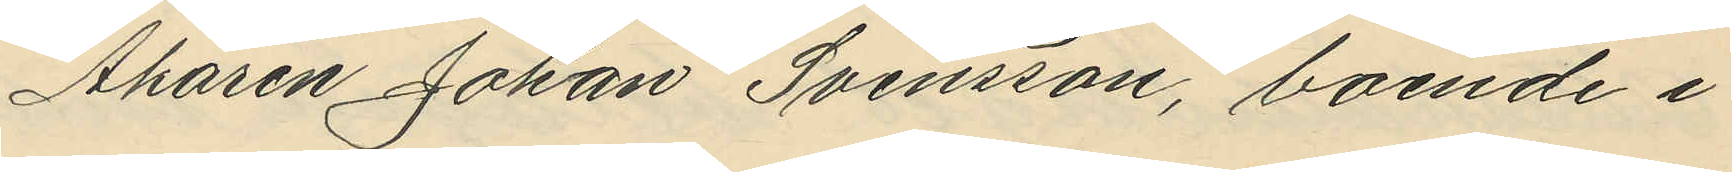Åkaren Johan Svensson, boende i
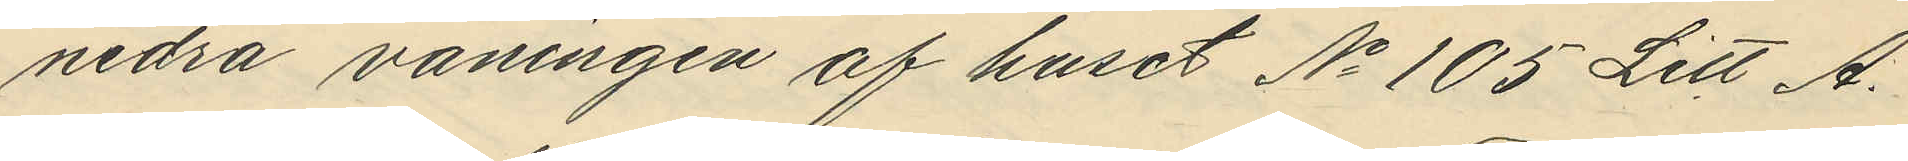nedra våningen af huset No 105 Litt A.
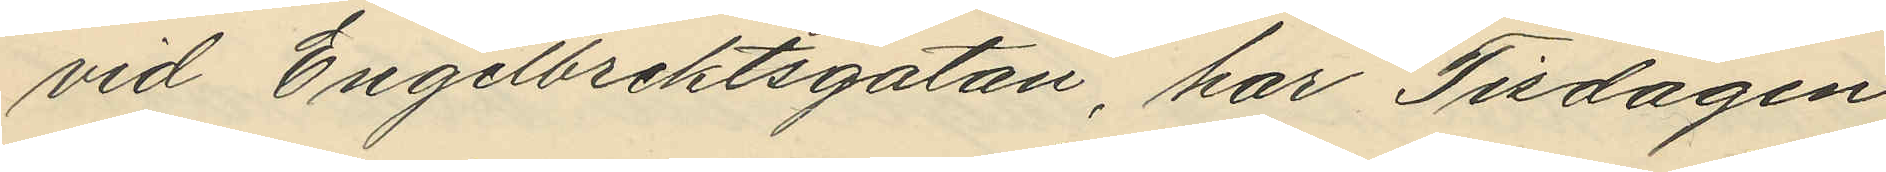vid Engelbrektsgatan, har Tisdagen
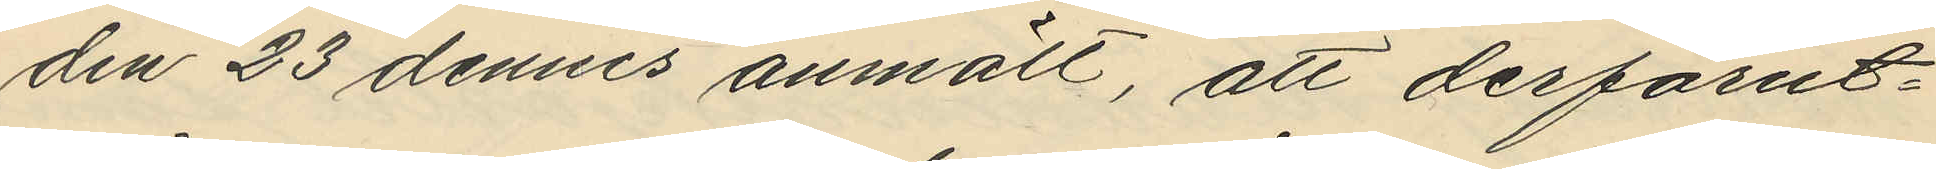den 23 dennes anmält, att derförut¬
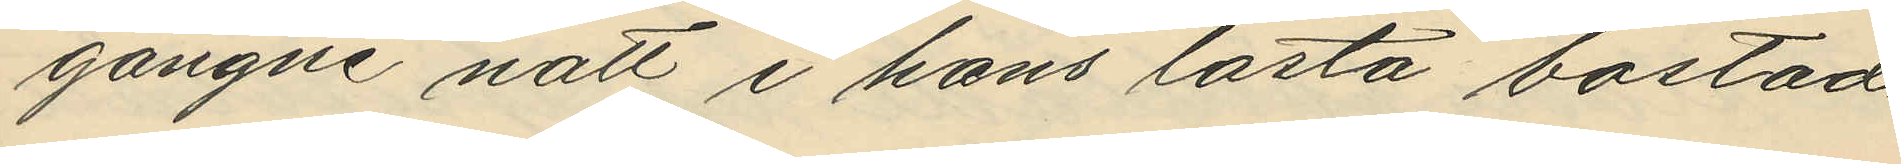gångne natt i hans låsta bostad
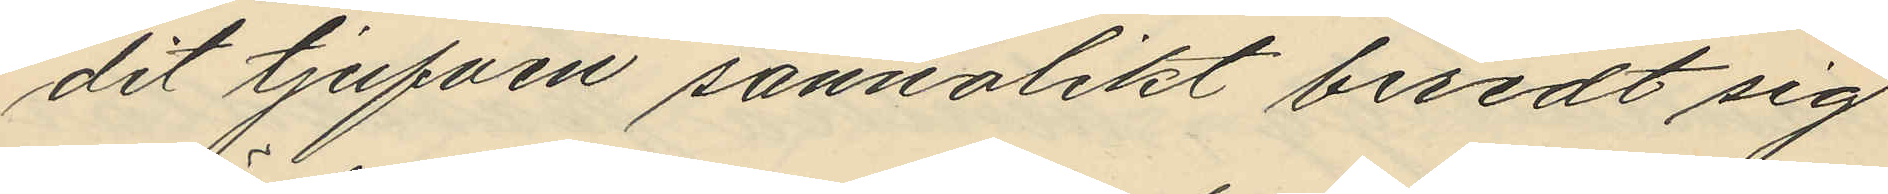dit tjufven sannolikt beredt sig
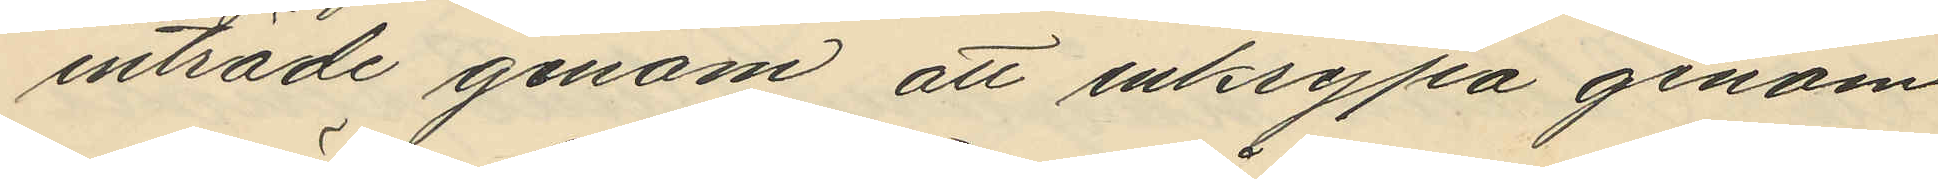inträde genom att inkrypa genom
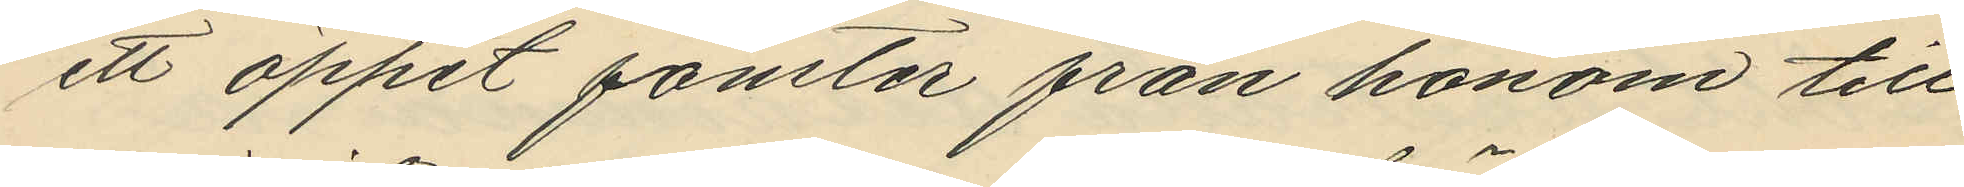ett öppet fönster från honom till
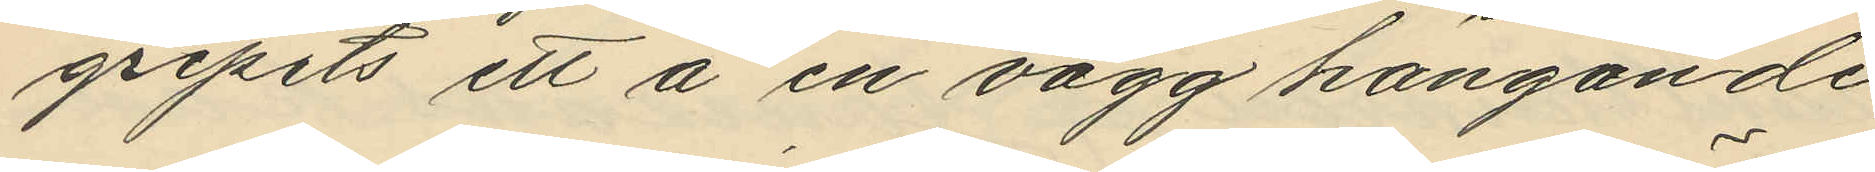gripits ett å en vägg hängande
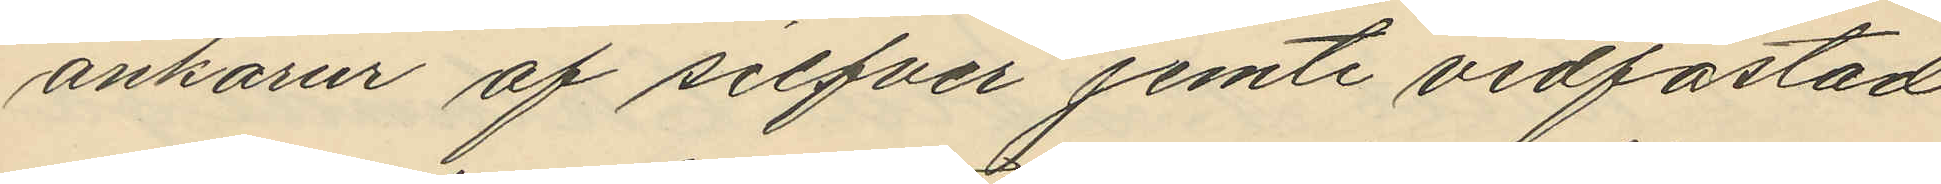ankarur af silfver jemte vidfästad
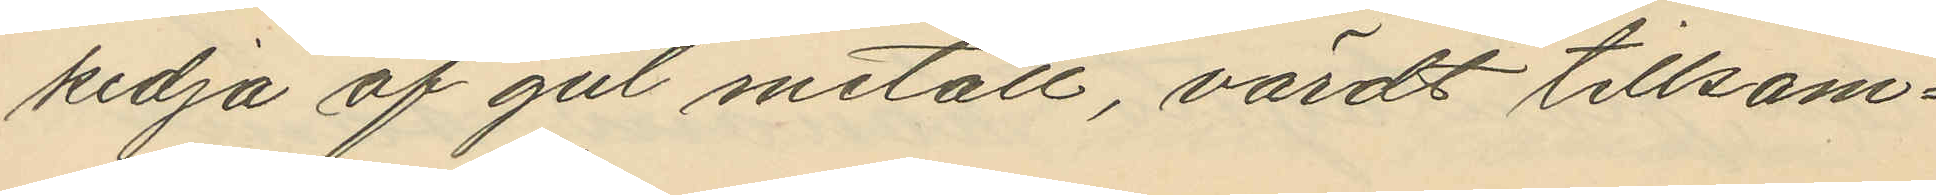kedja af gul metall, värdt tillsam¬
